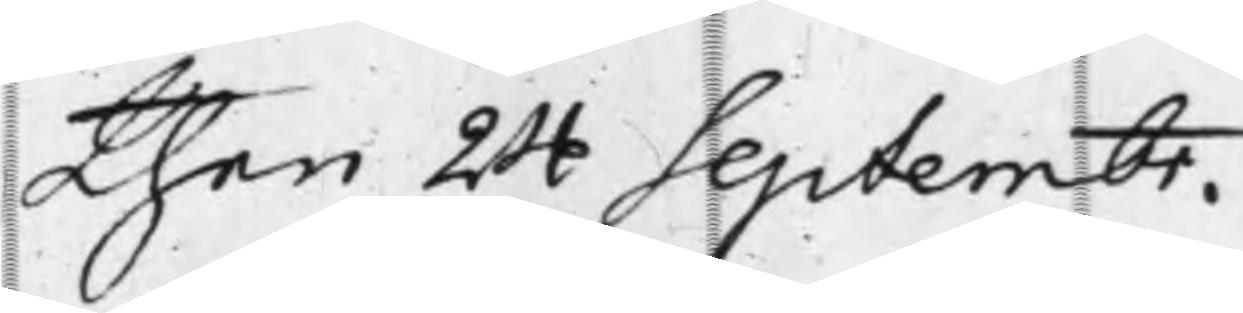then 24 Septembr.
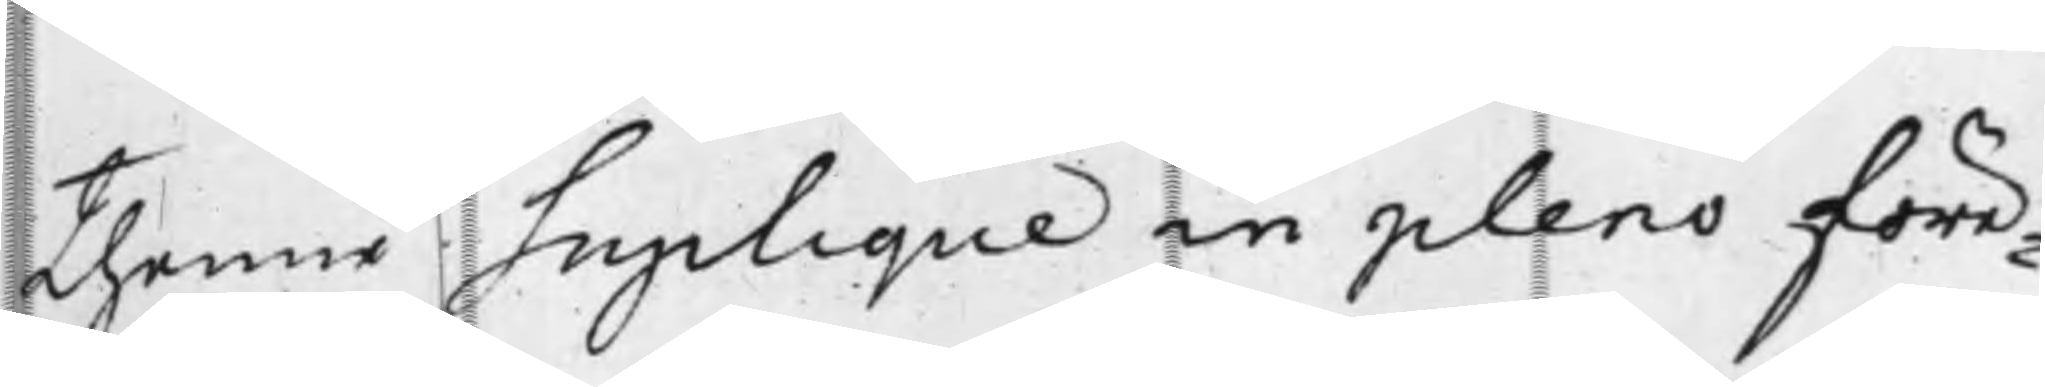thenne Suplique in pleno före¬
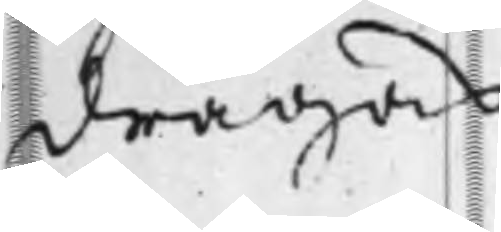dragas.
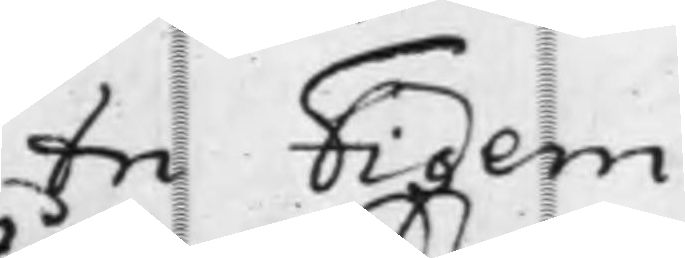In Fidem
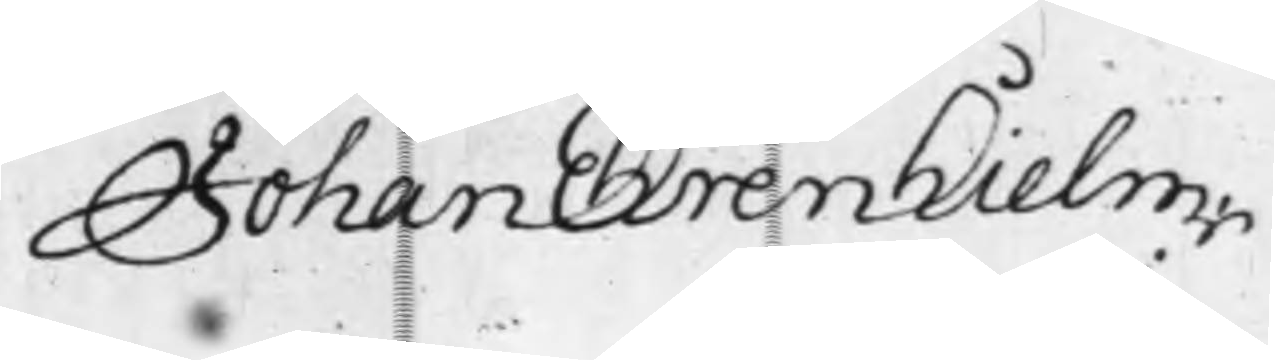Johan Ehrenhielm
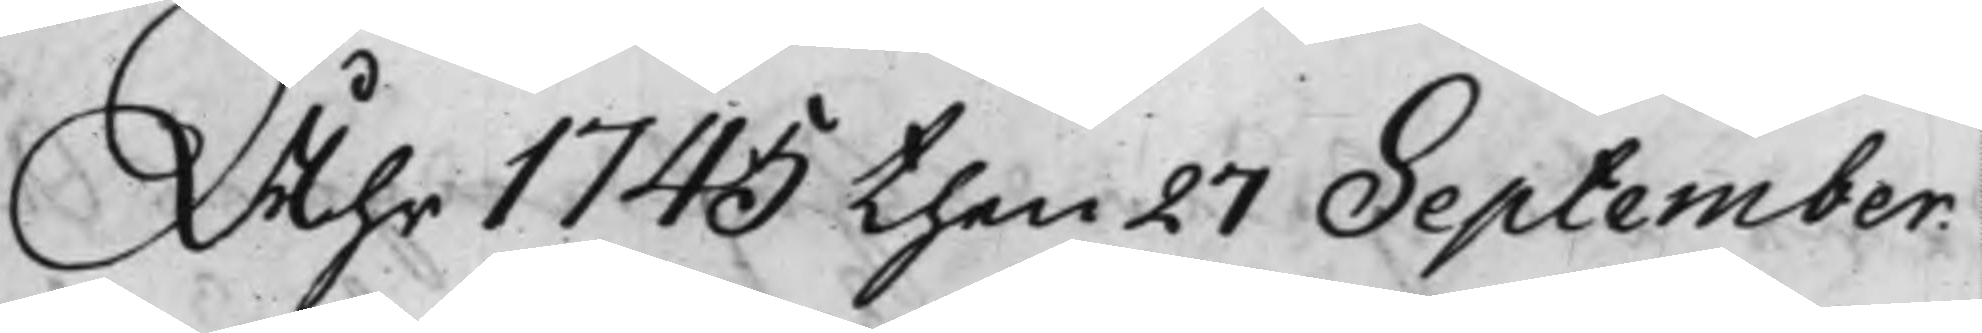Åhr 1745 then 27 September
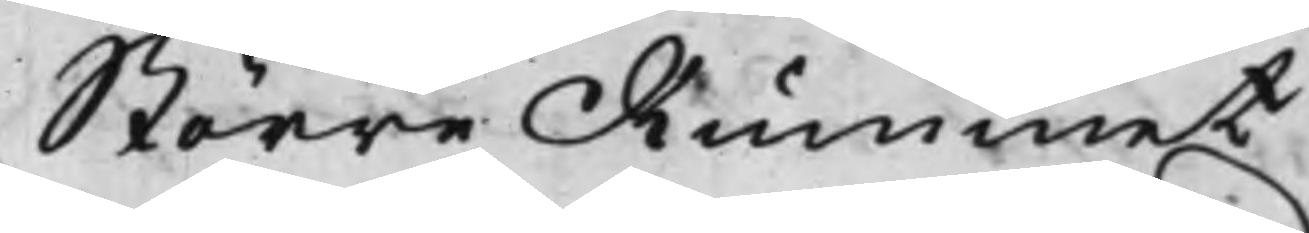Större Rummet
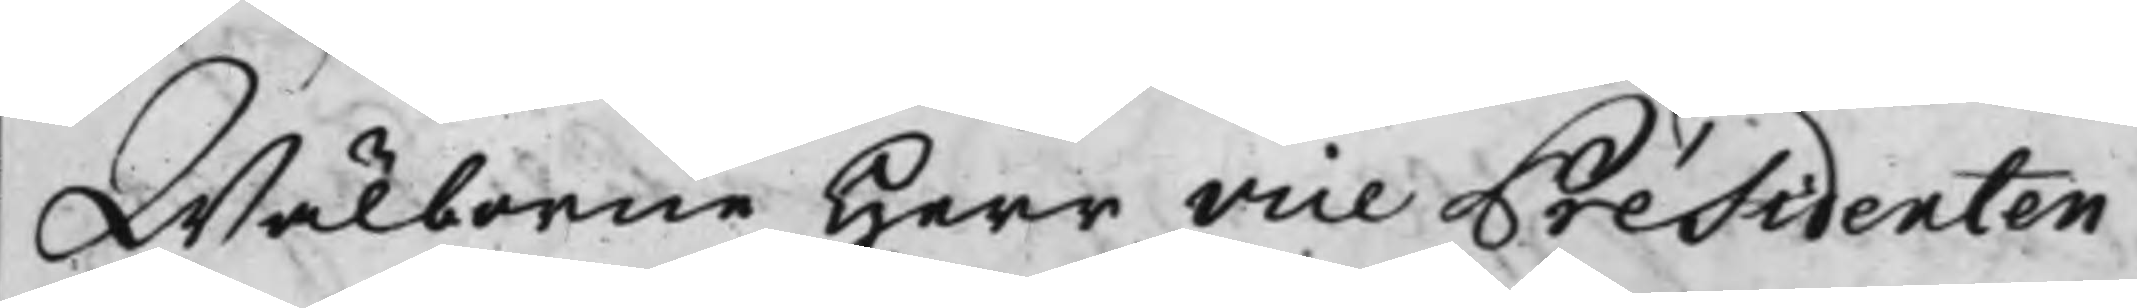Wälborne Herr vice Présidenten
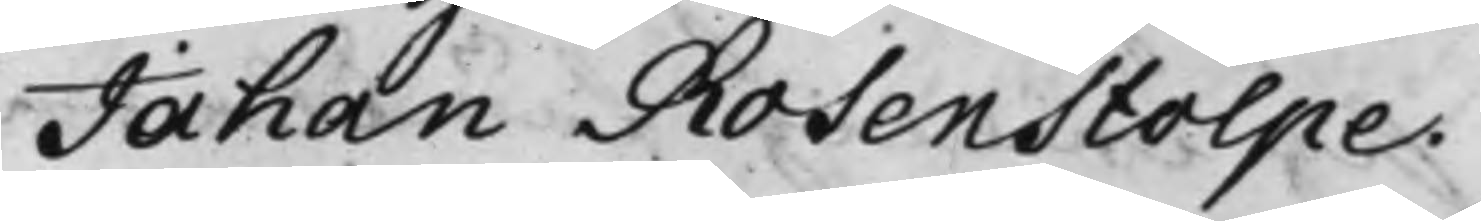Johan Rosenstolpe.
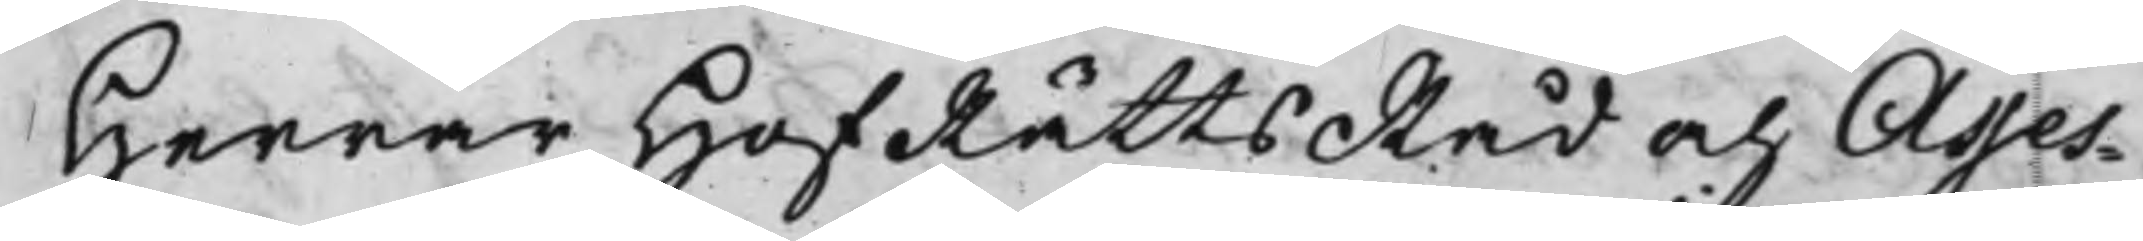Herrar HofRättsRåd och Asses¬
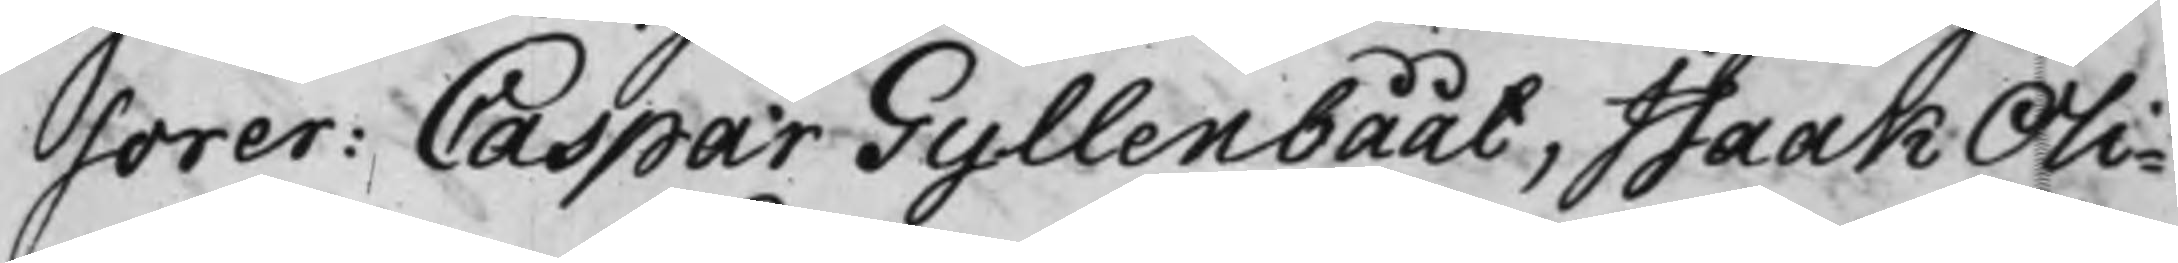sorer: Caspar Gyllenbååt, Isaak Oli¬
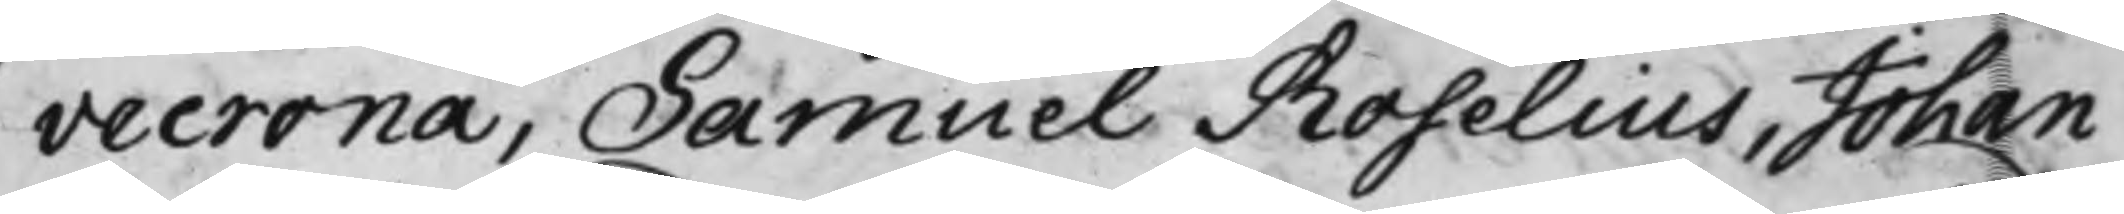vecrona, Samuel Roselius, Johan
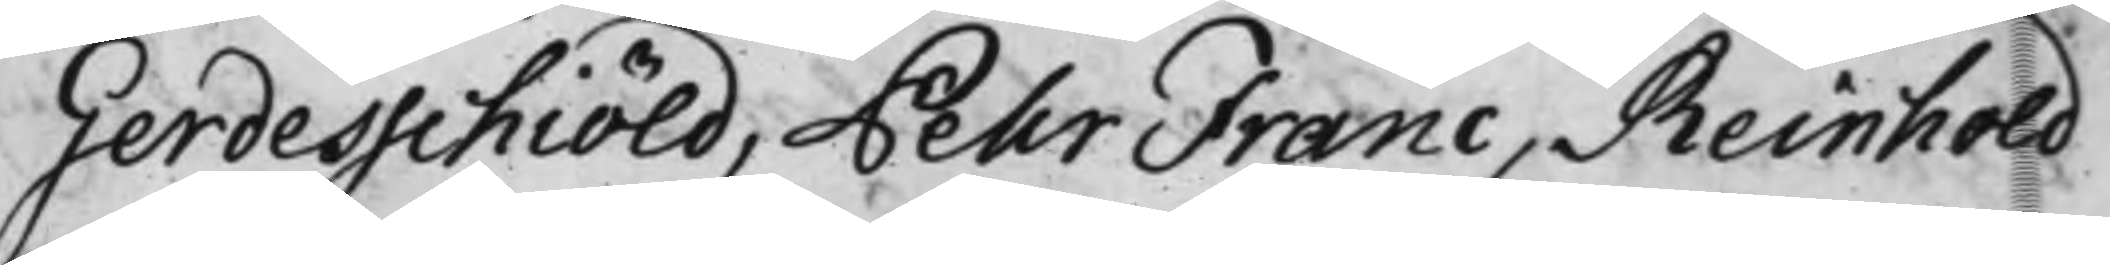Gerdesschiöld, Pehr Franc, Reinhold
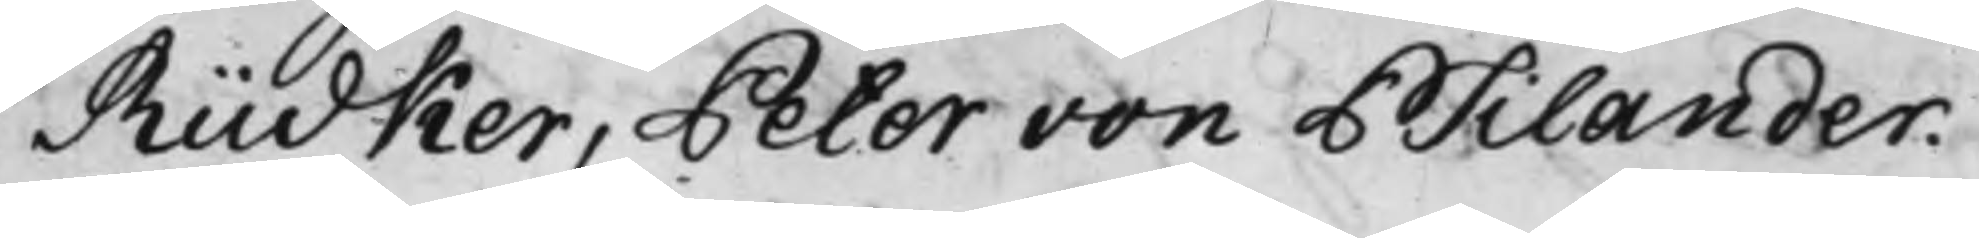Rüdker, Peter von Psilander.
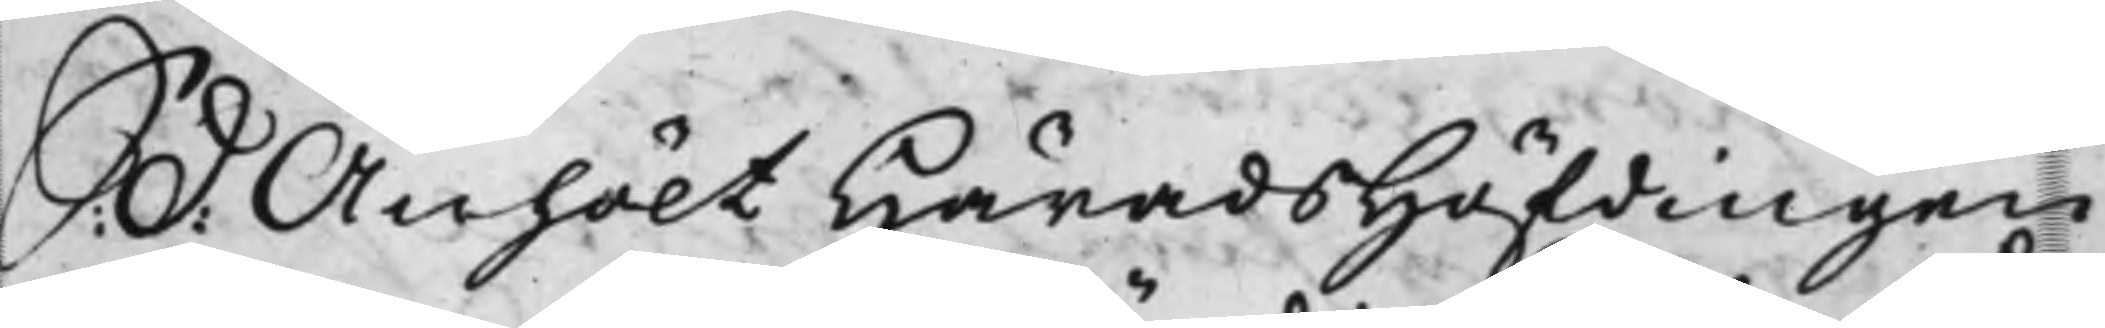S:. d: Anhölt HäradsHöfdingen
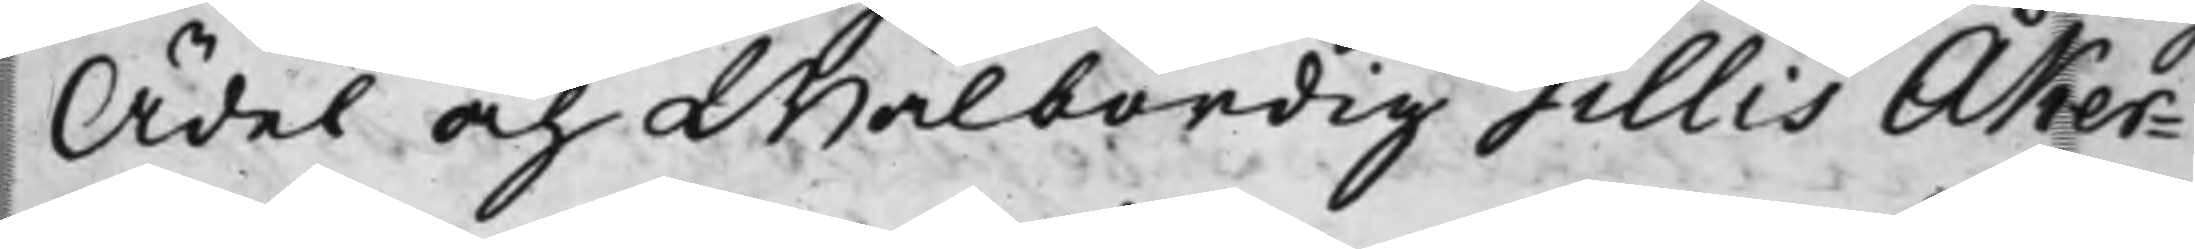Ädel och Wälbördig Gillis Åker¬
